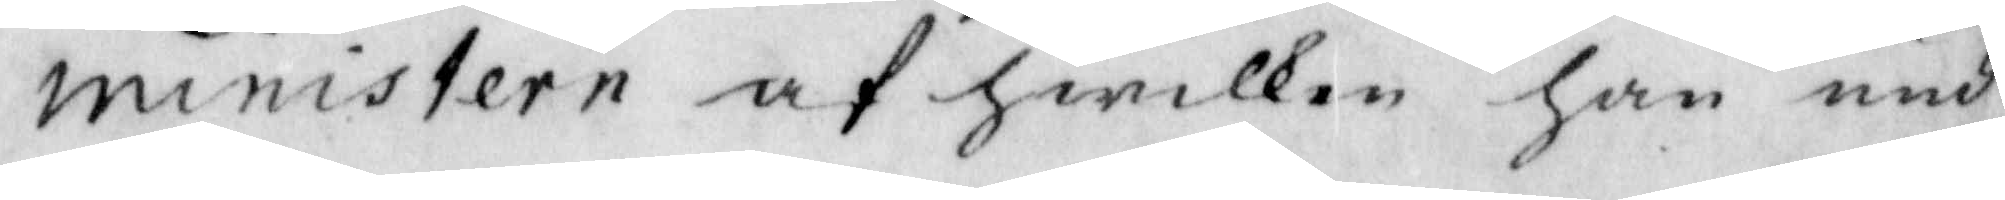ministern af hwilken han und¬
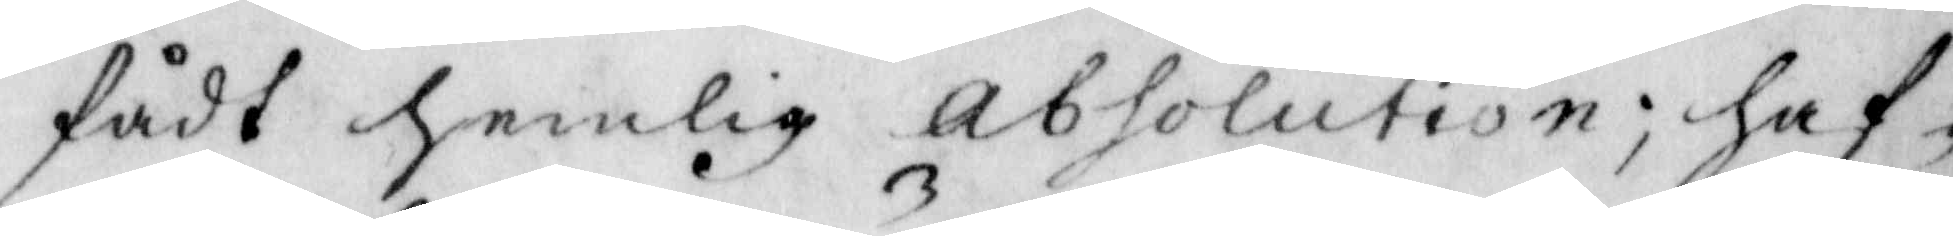fådt hemlig absolution; haf¬
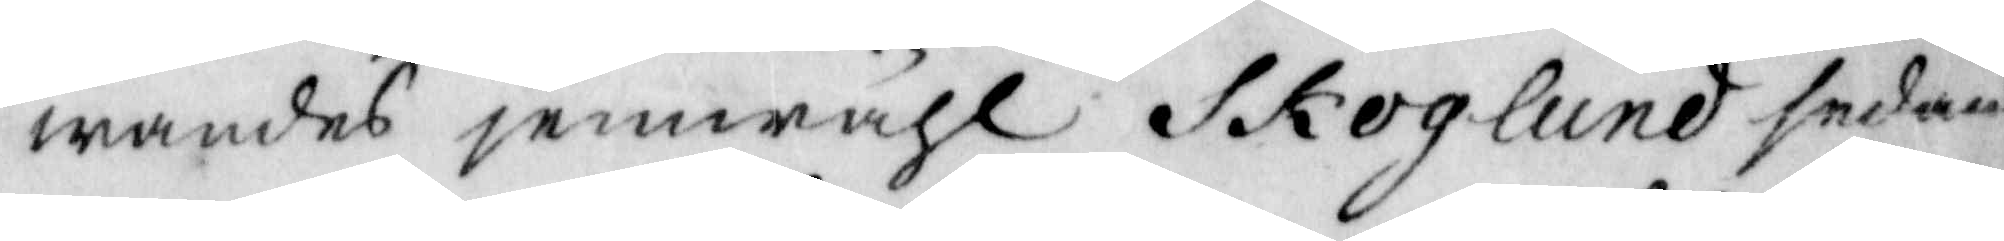wandes jemwähl Skoglund sedan
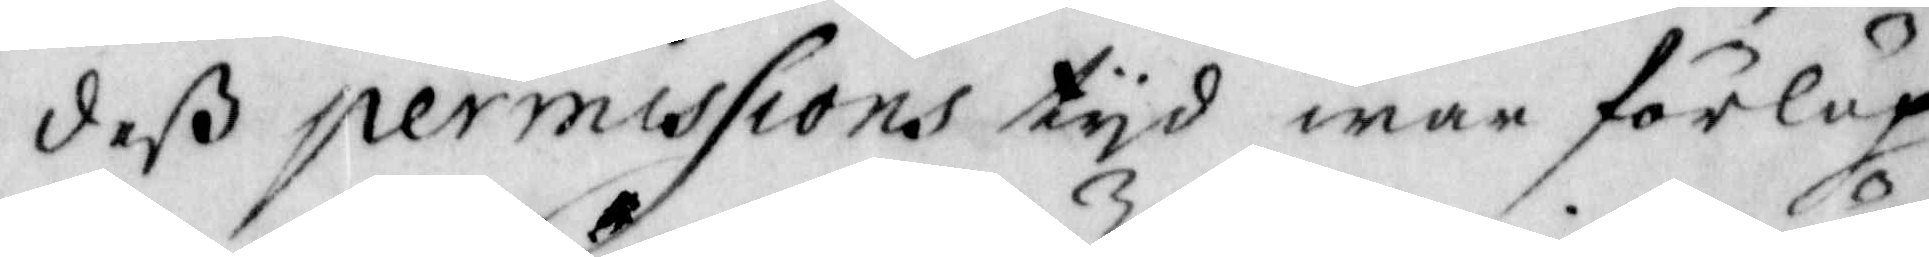deß permissions tyd war förlup¬
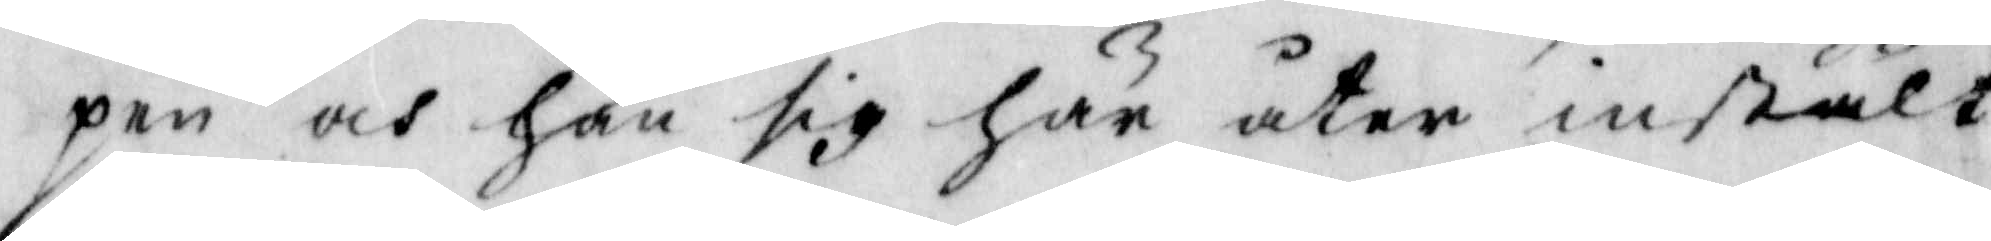pen och hän sig här åter instält,
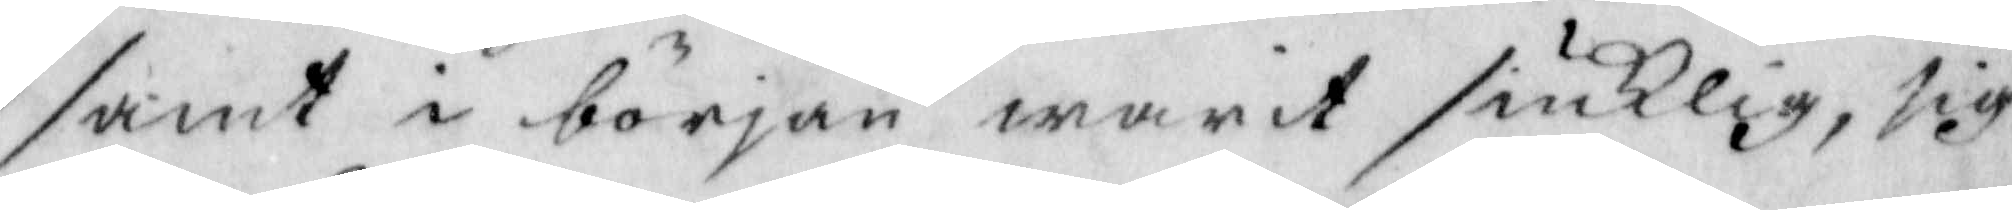samt i början warit siukelig, sig
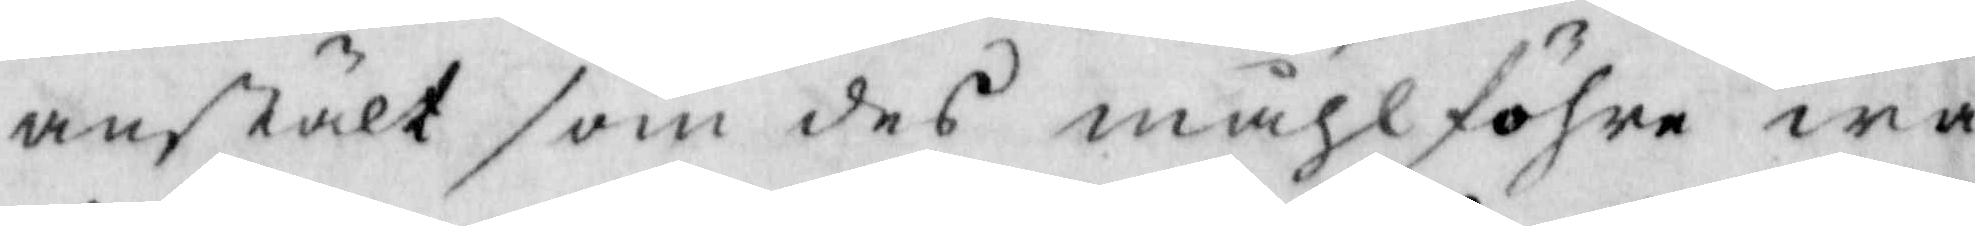anstält som des måhlföre wa¬
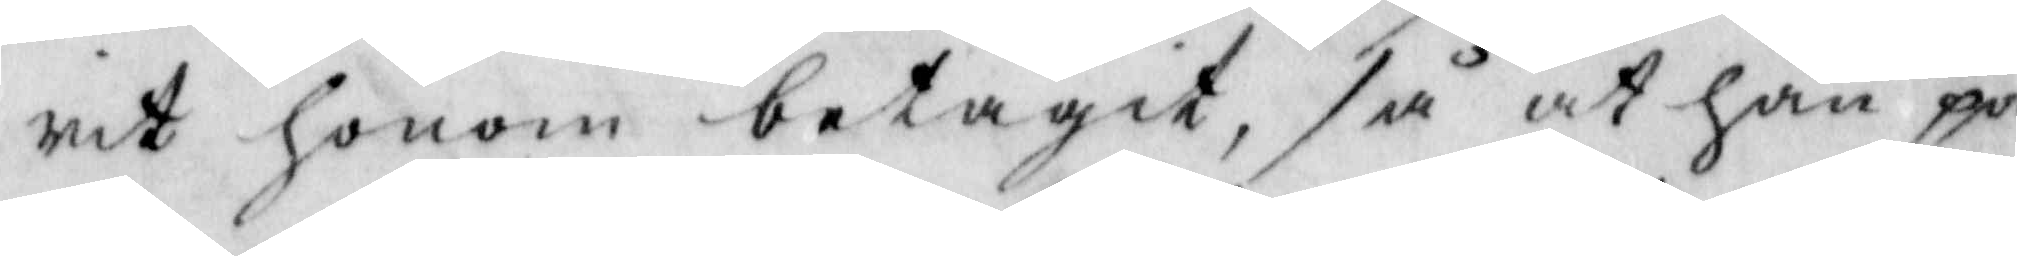rit honom betagit, så at han på
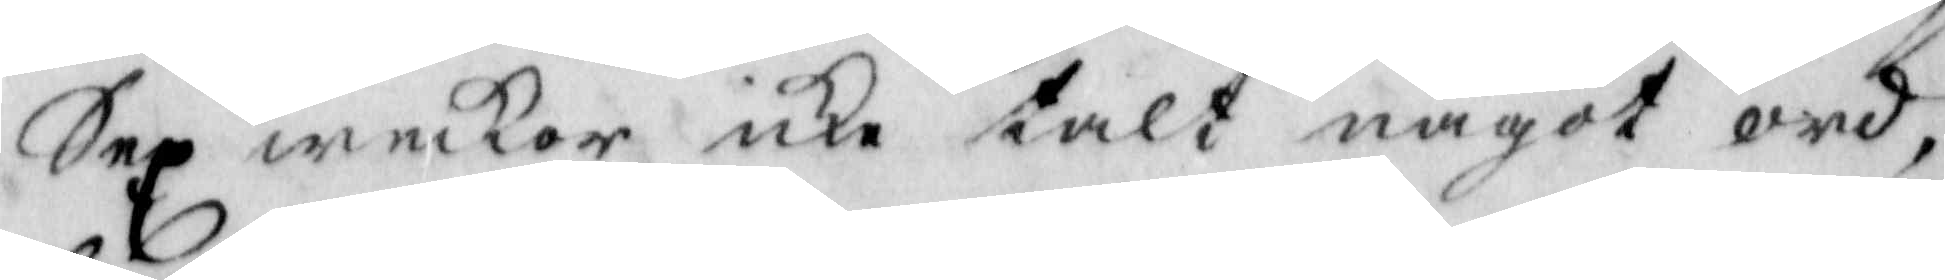Sex weckor icke talt något ord,
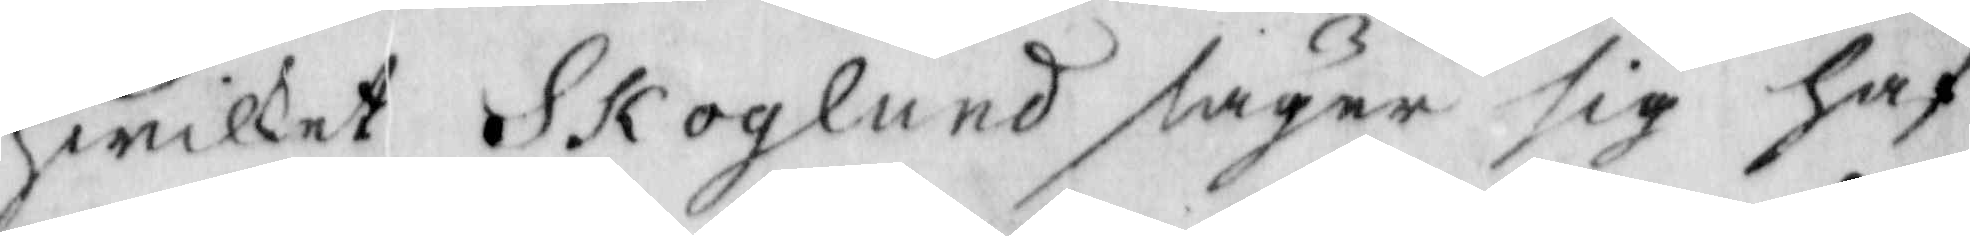hwilket Skoglund säger sig haf¬
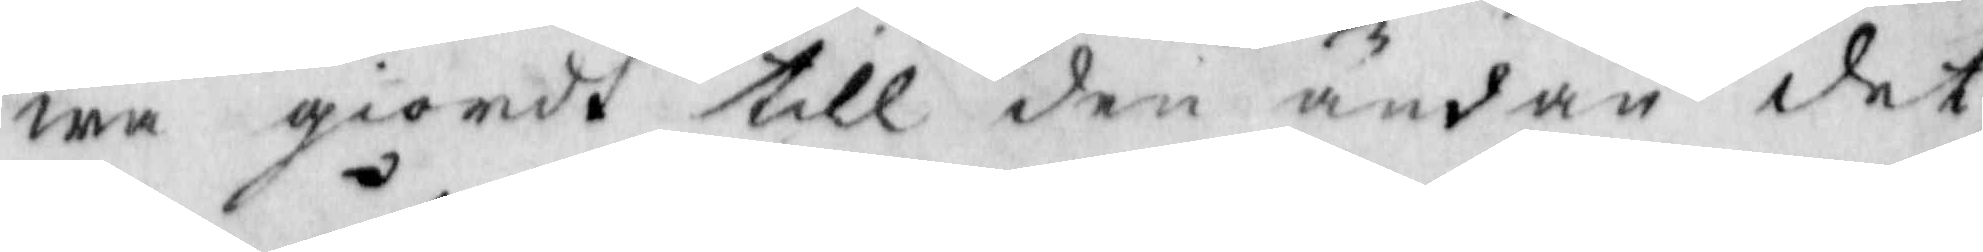wa giordt till den ändan det
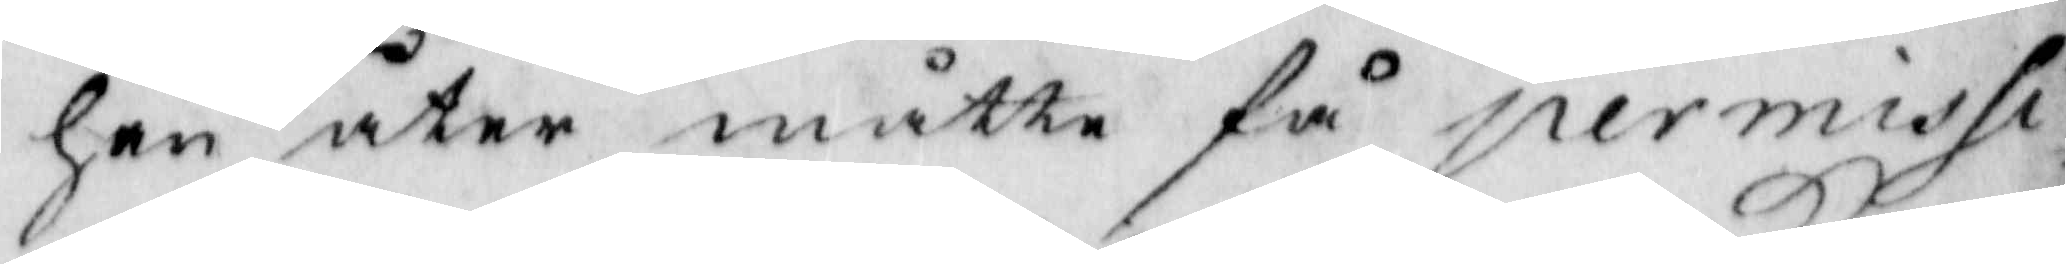han åter måtte få permissi¬
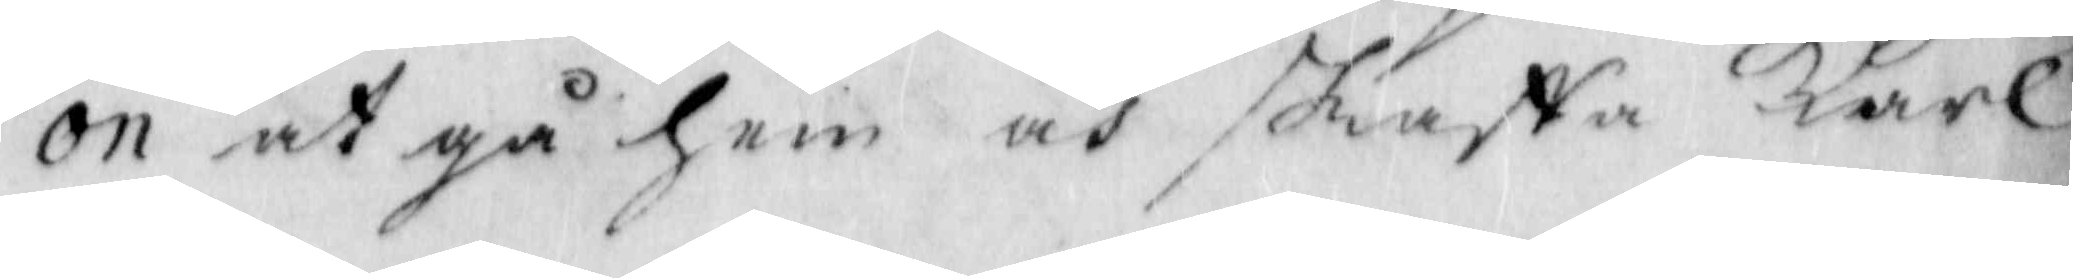on at gå hem och skaffa karl
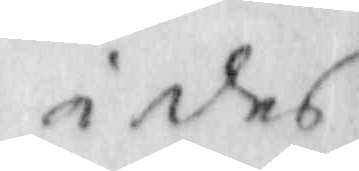å des
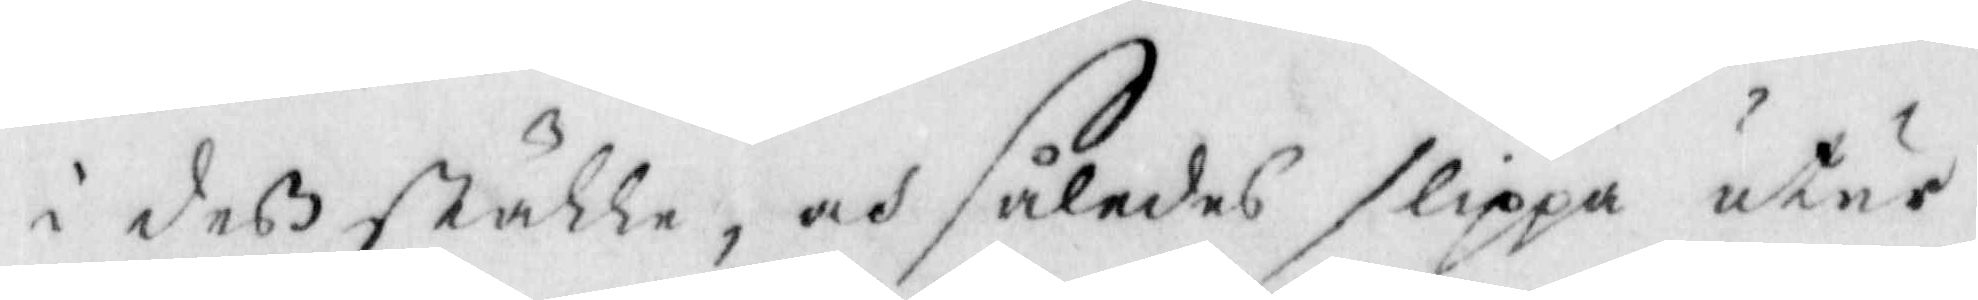i deß ställe, och således slippa utur
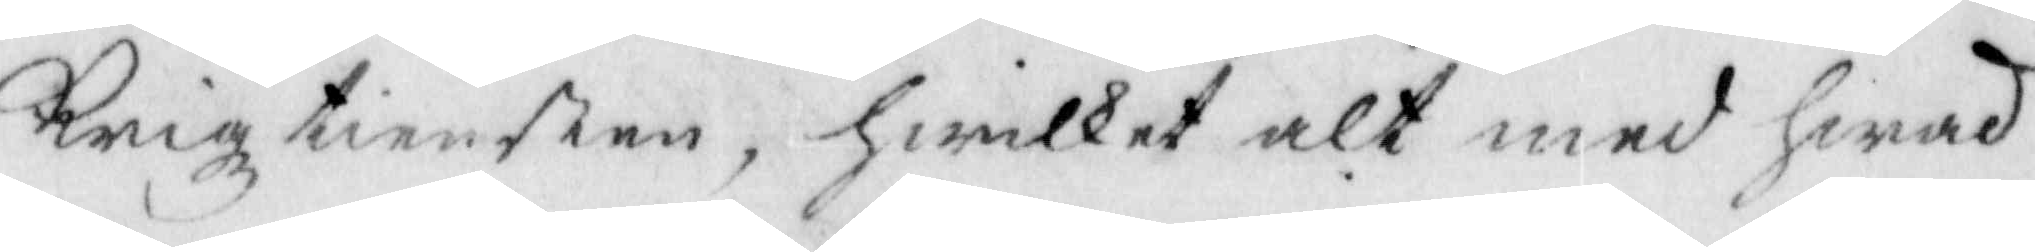Krigztiensten, hwilket alt med hwad
